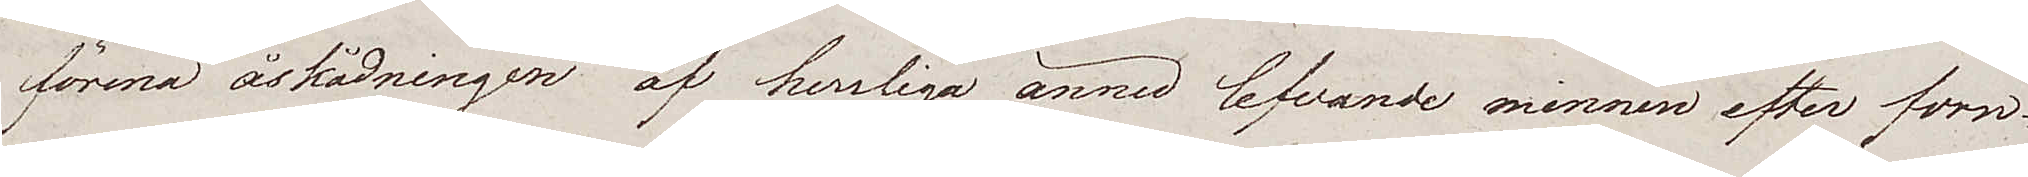förena åskådningen af herrliga ännu lefvande minnen efter forn¬
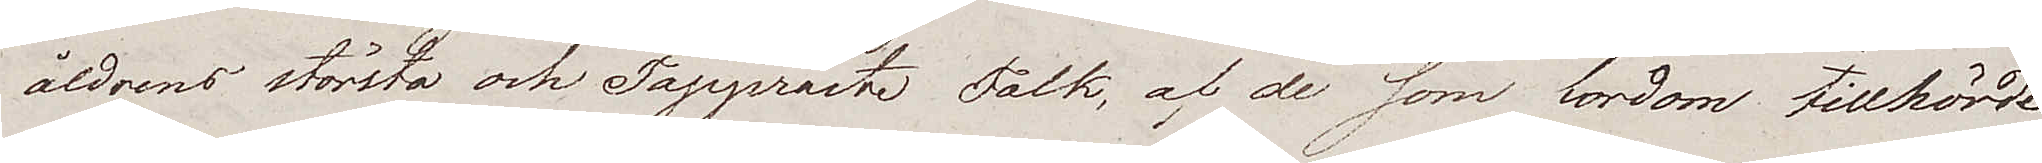åldrens största och Tappraste Folk, af de som fordom tillhörde
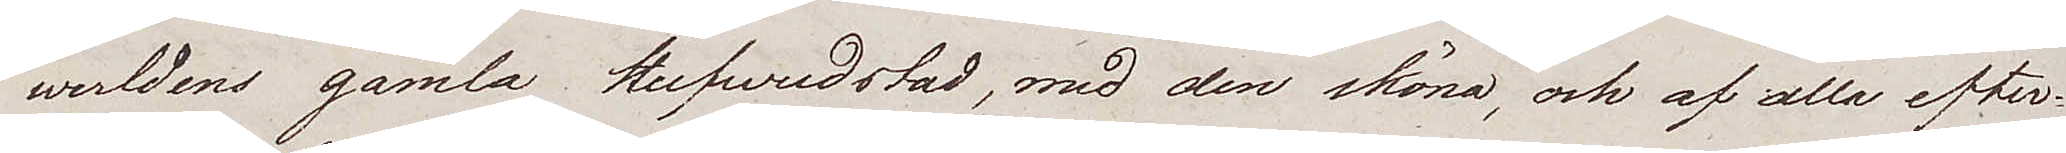werldens gamla Hufvudstad, med den sköna, och af alla efter¬
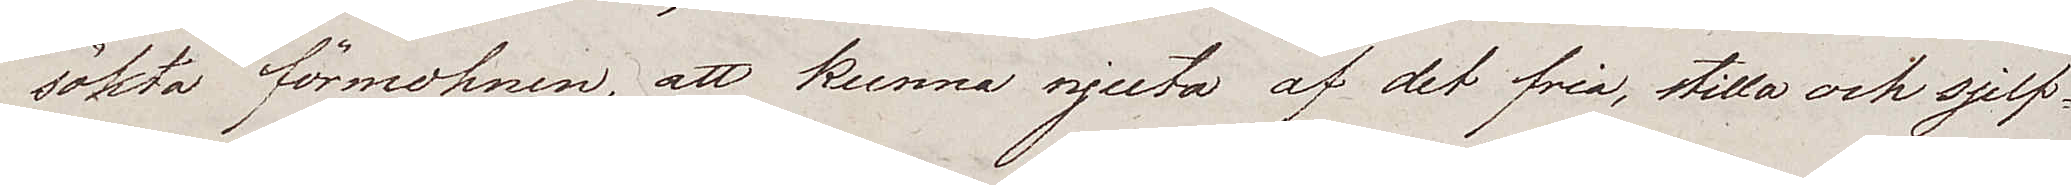sökta förmohnen, att kunna njuta af det fria, stilla och sjelf¬
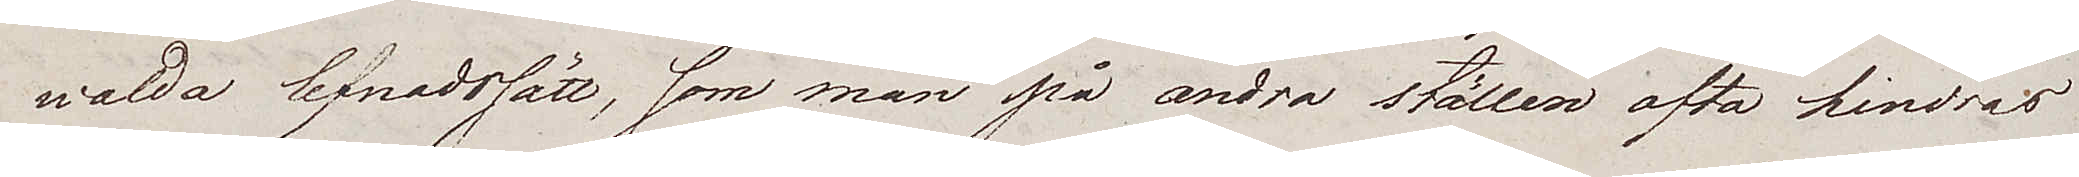walda lefnadssätt, som man på andra ställen ofta hindras
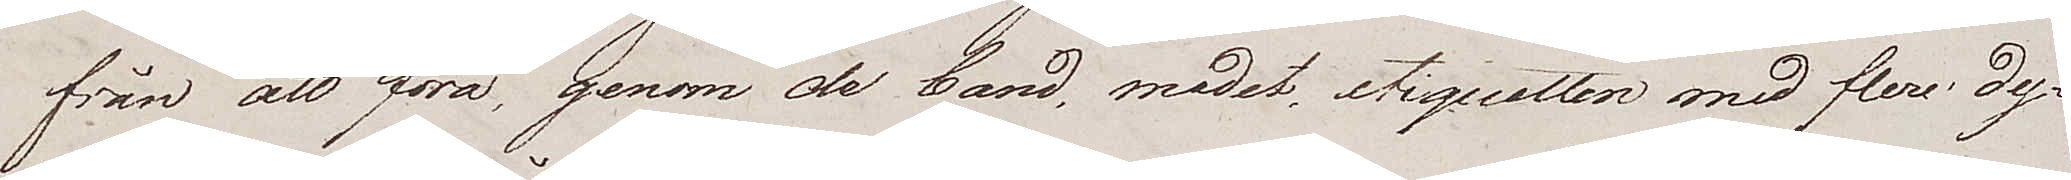från att föra, genom de band, modet, etiquetten med flere dy¬
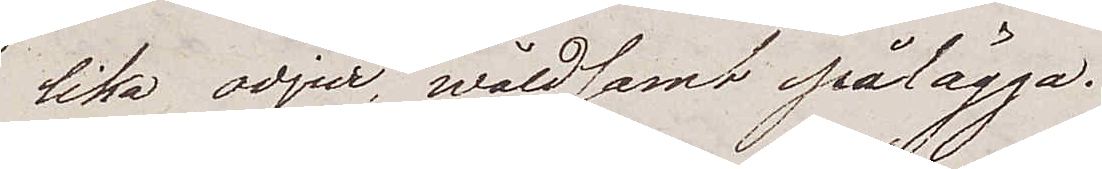lika odjur wåldsamt pålägga.
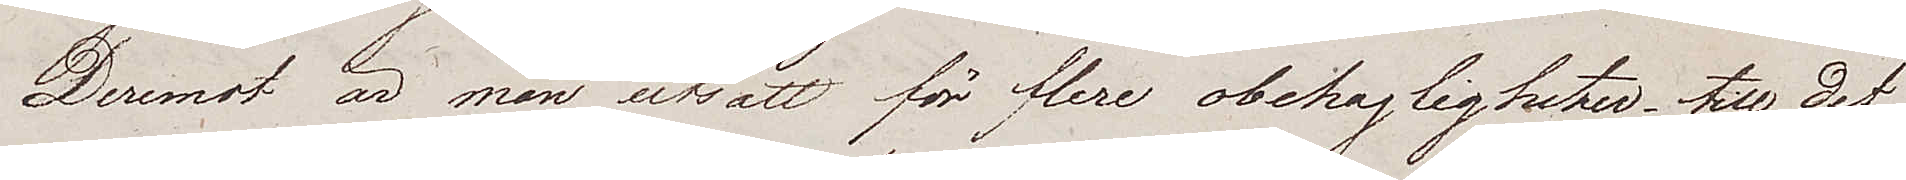Deremot är man utsatt för flere obehagligheter, till det
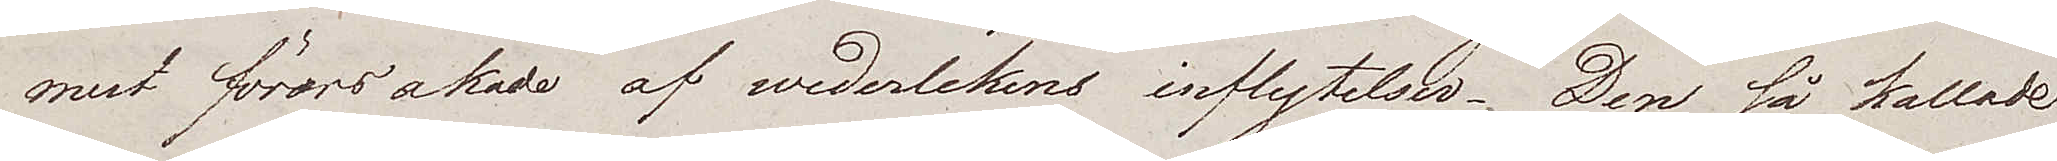mest förorsakade af wederlekens inflytelser. Den så kallade
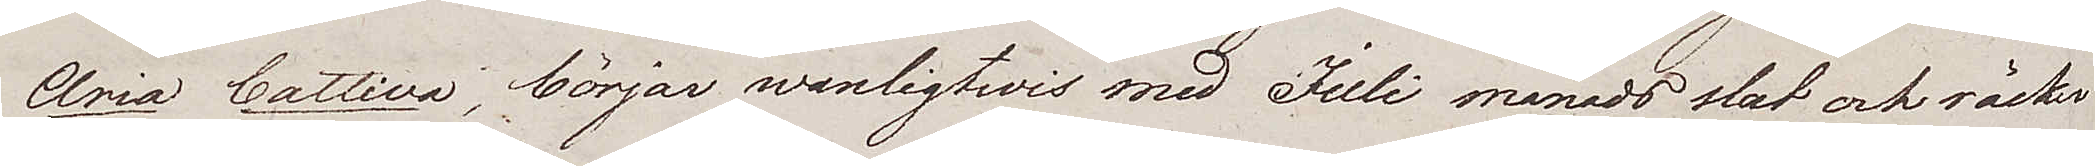Aria Cattiva, börjar wanligtvis med Juli månads slut och räcker
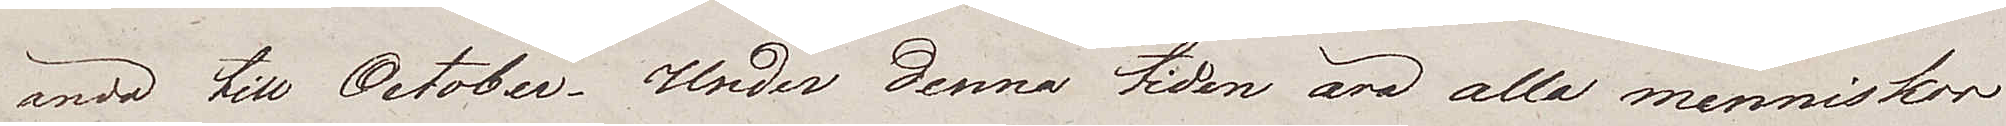ända till October. Under denna tiden äro alla menniskor
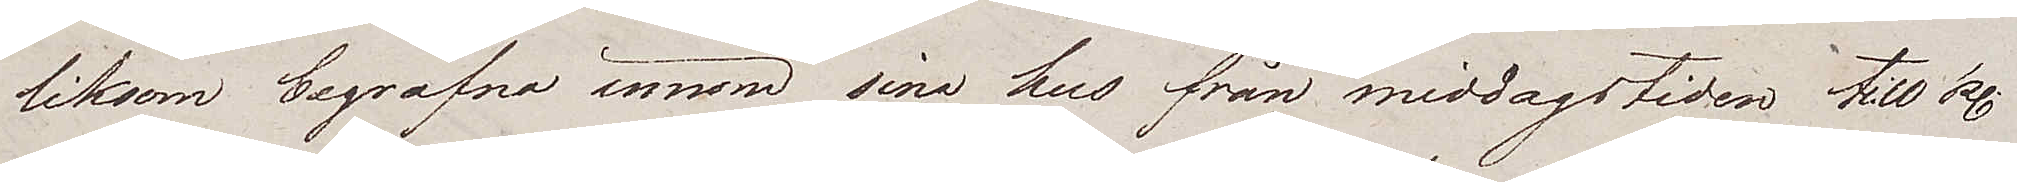liksom begrafna innom sina hus från middagstiden till kl.
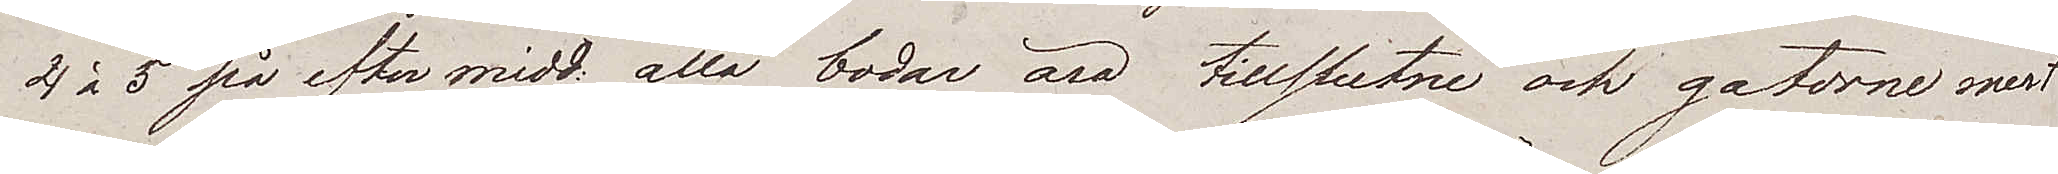4 à 5 på eftermidd. alla bodar äro tillslutne och gatorne mest
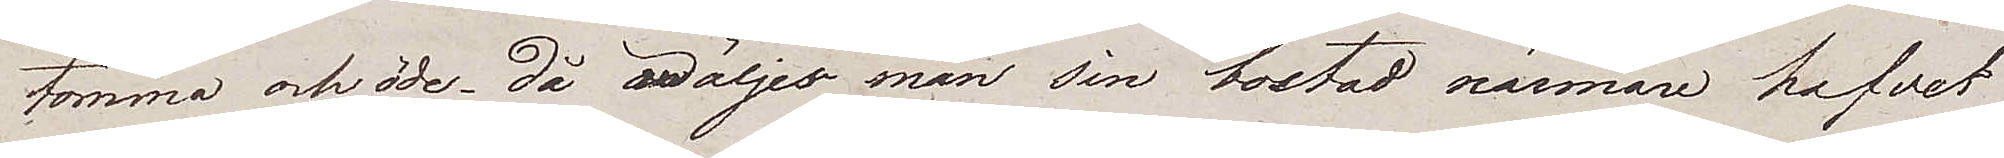tomma och öde – då wäljer man sin bostad närmare hafvet
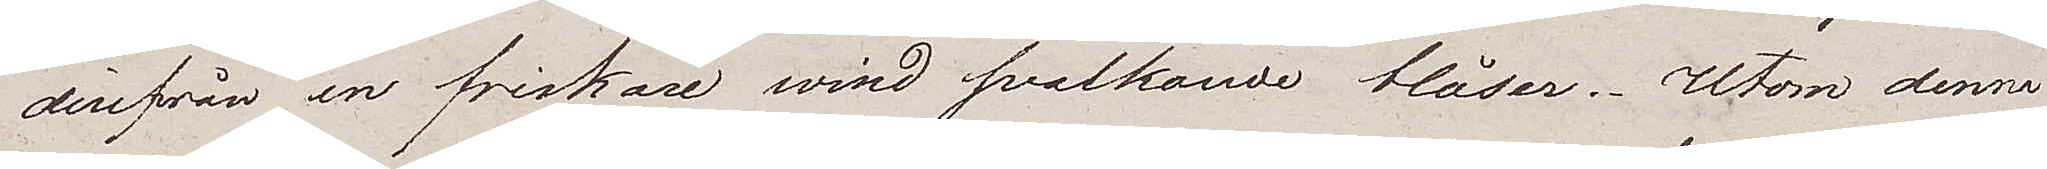derifrån en friskare wind svalkande blåser. Utom denna
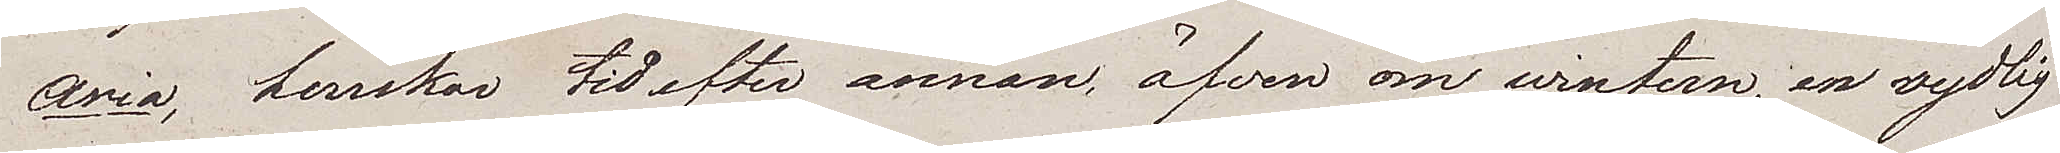Aria, herrskar tid efter annan, äfven om wintern, en sydlig
